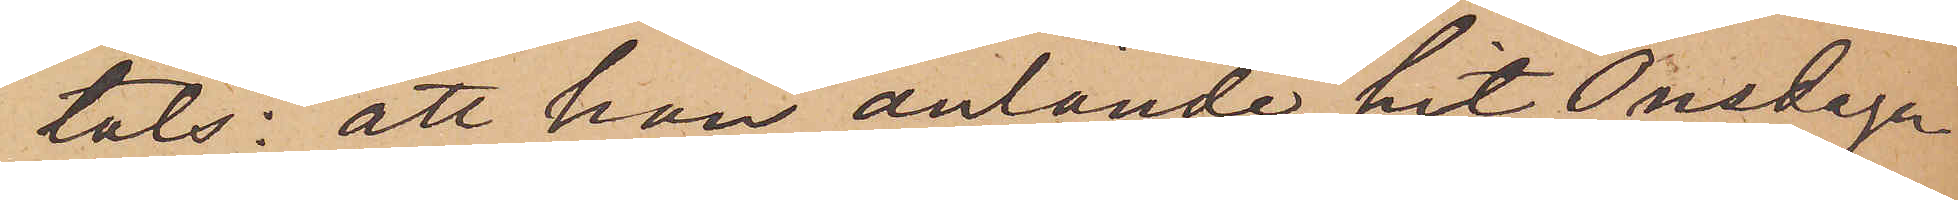tats: att han anlände hit Onsdagen
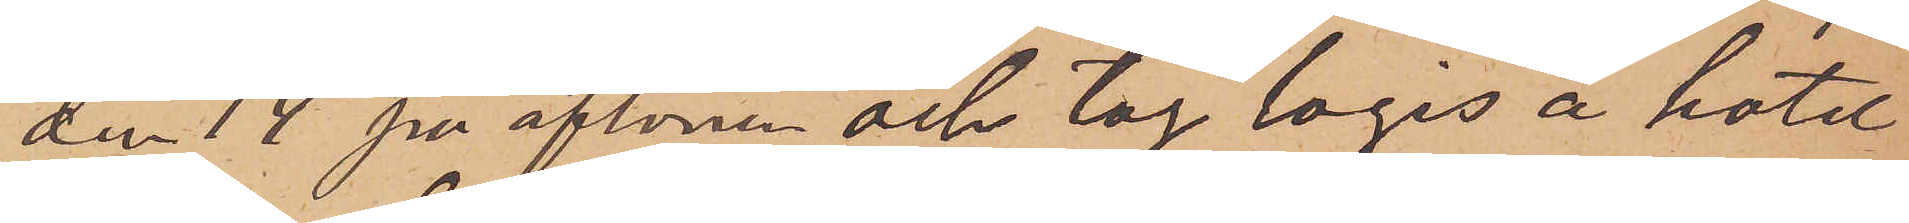den 14 på aftonen och tog logis å hotel
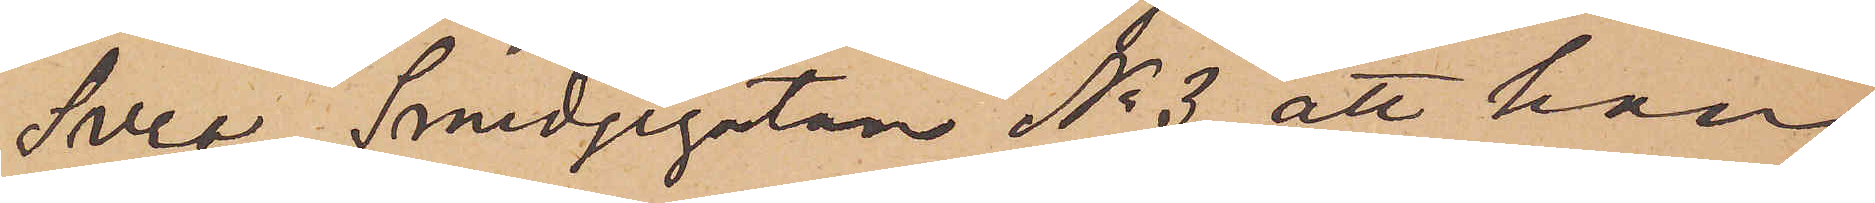Svea, Smedjegatan No 3; att han
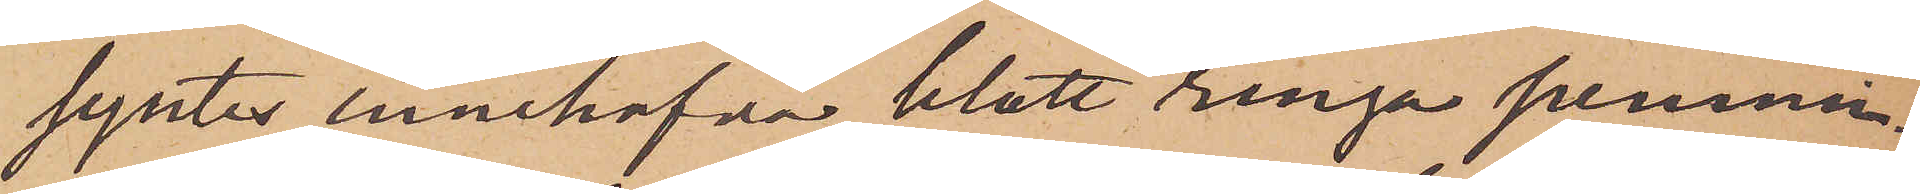syntes innehafva blott ringa pennin¬
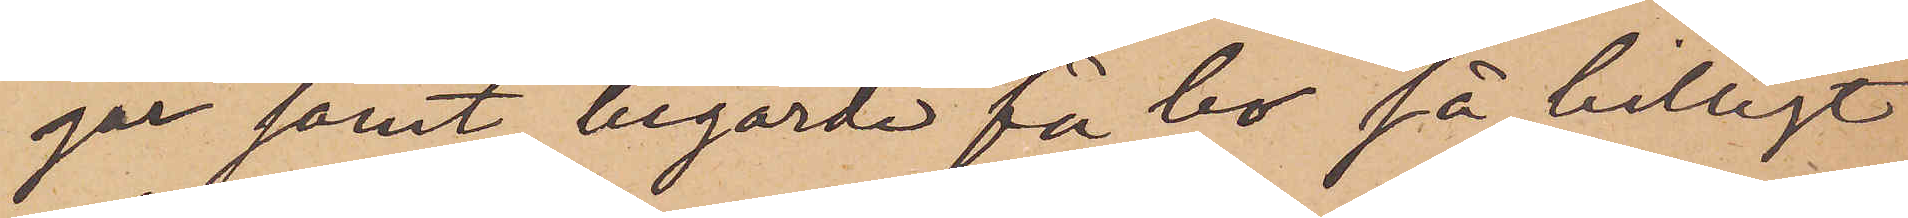gar samt begärde få bo så billigt
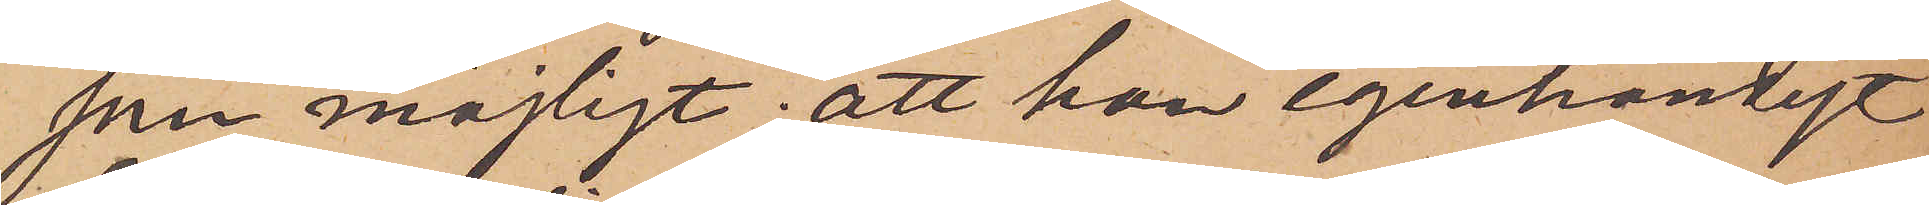som möjligt; att han egenhändigt
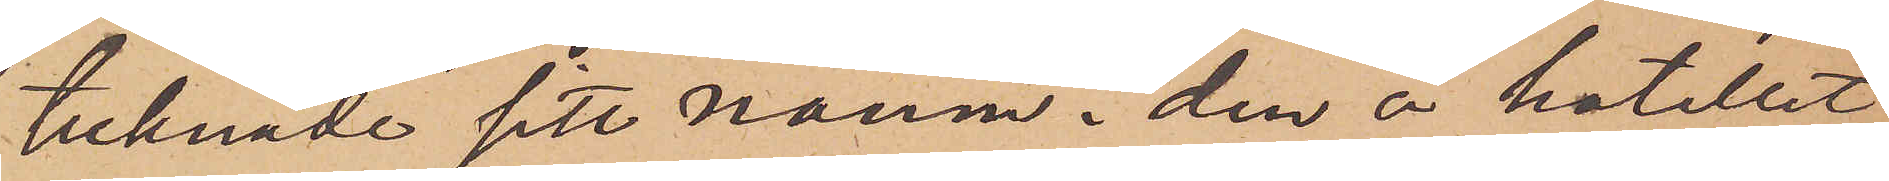tecknade sitt namn i den å hotellet
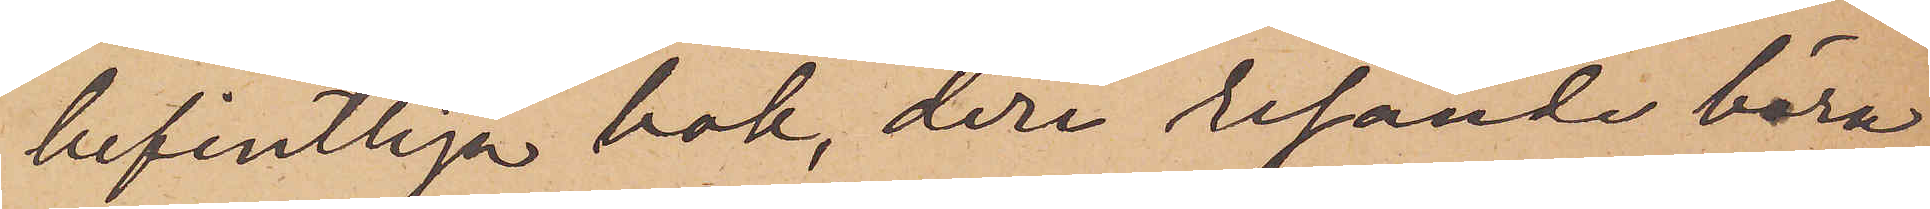befintliga bok, deri resande böra
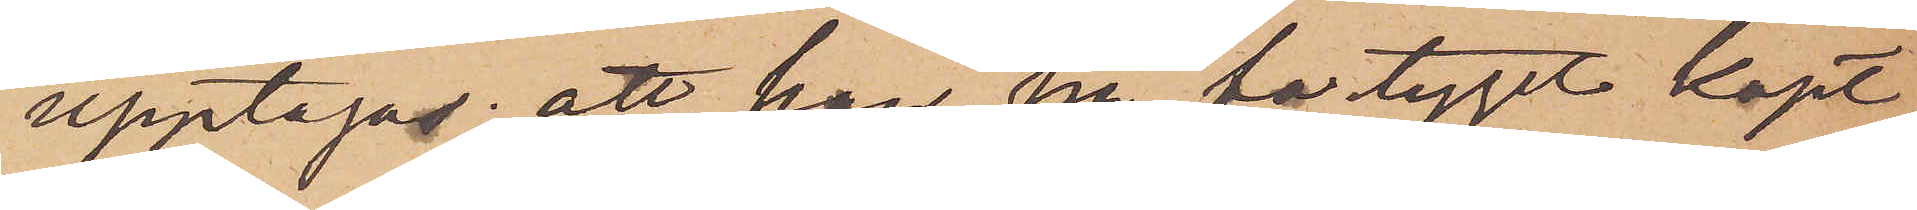upptagas; att han på fartyget köpt
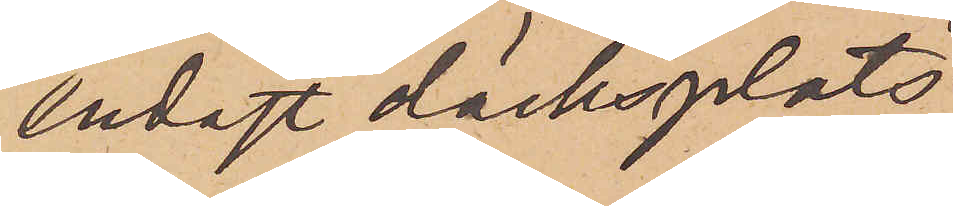endast däcksplats;
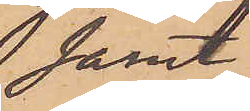samt
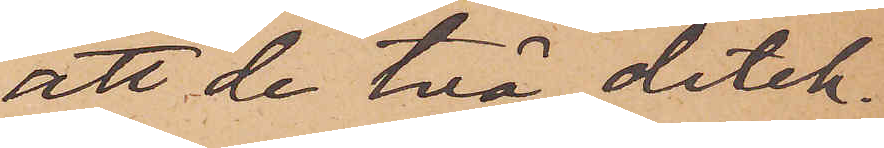att de två detek¬
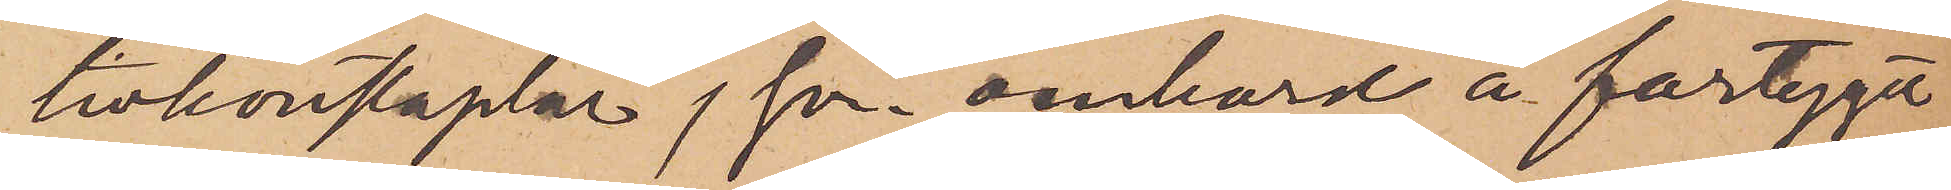tivkonstaplar, som ombord å fartyget
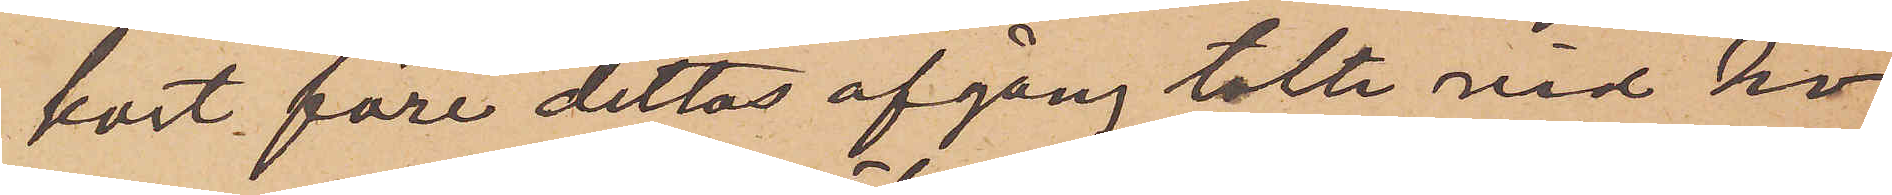kort före dettas afgång talte med ho¬
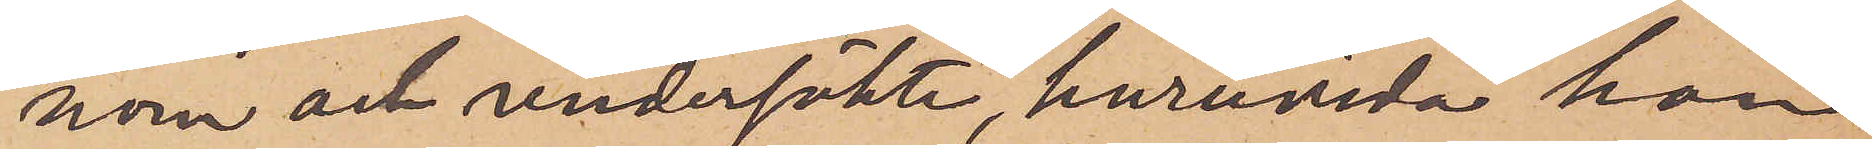nom och undersökte, huruvida han
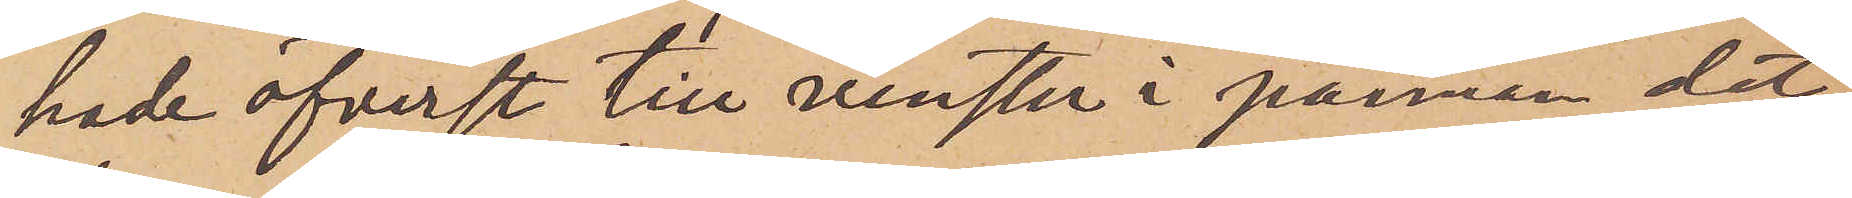hade öfverst till venster i pannan det
